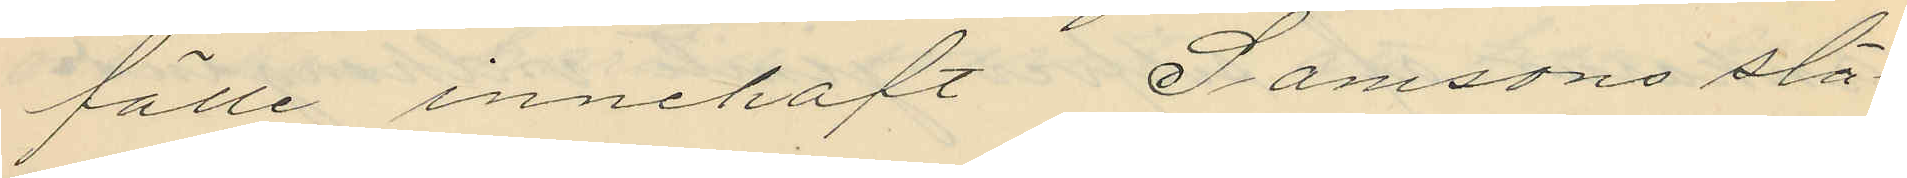fälle innehaft Samsons slä¬
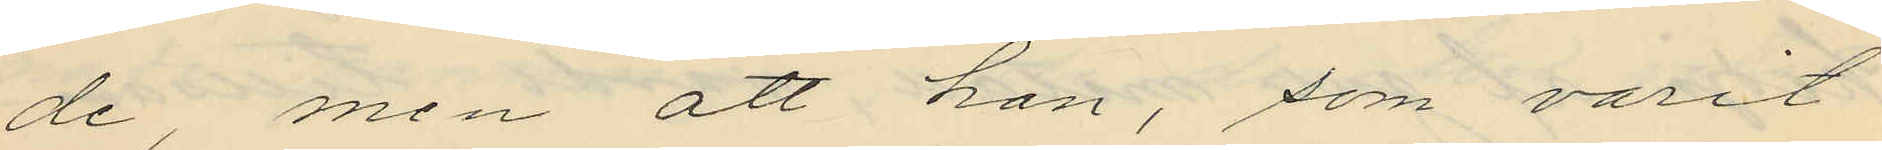de, men att han, som varit
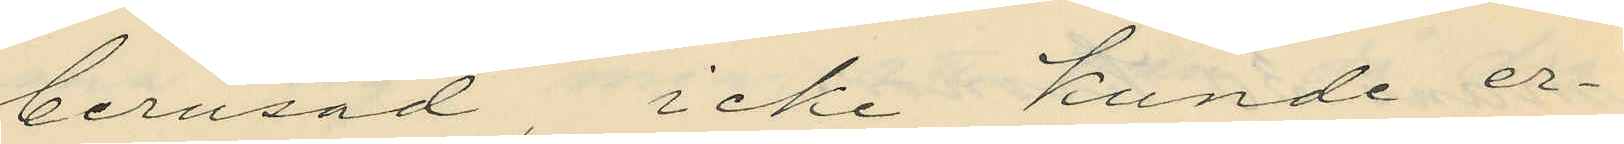berusad, icke kunde er¬
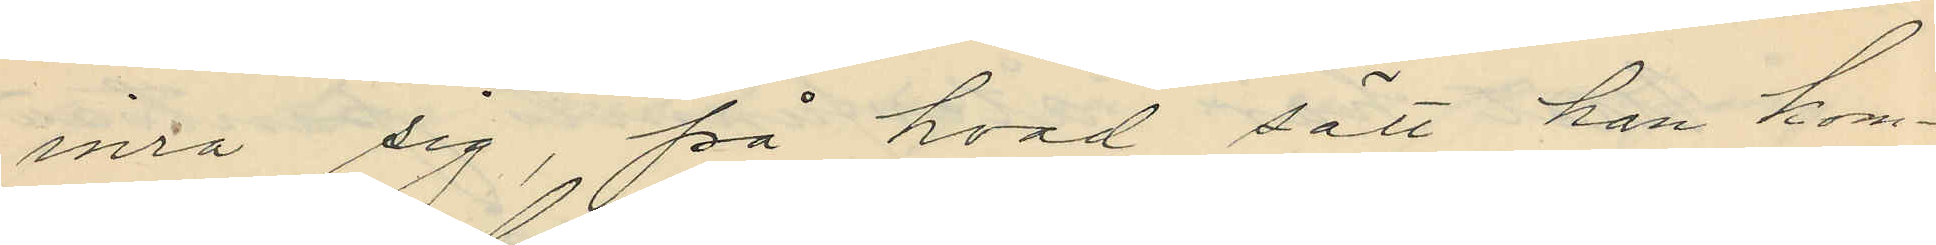inra sig, på hvad sätt han kom¬
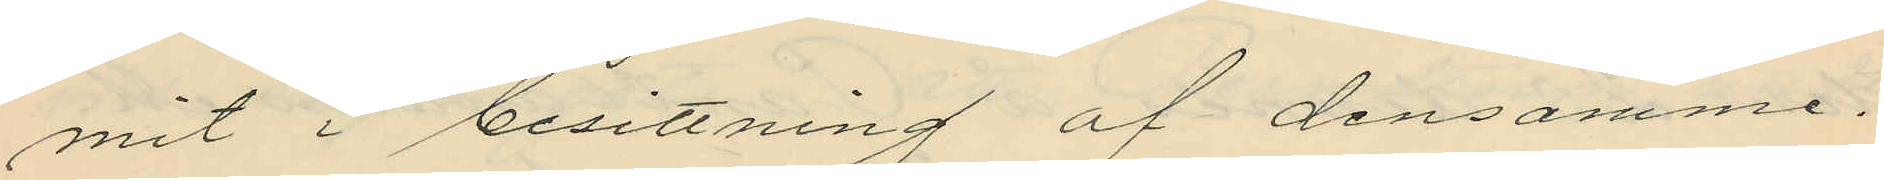mit i besittning af densamme.
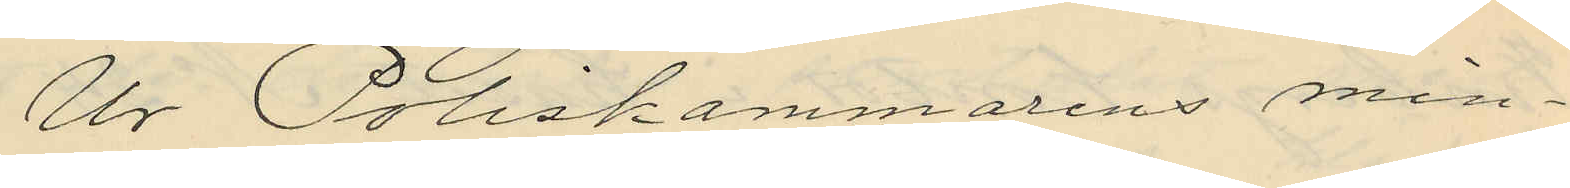Ur Poliskammarens min¬
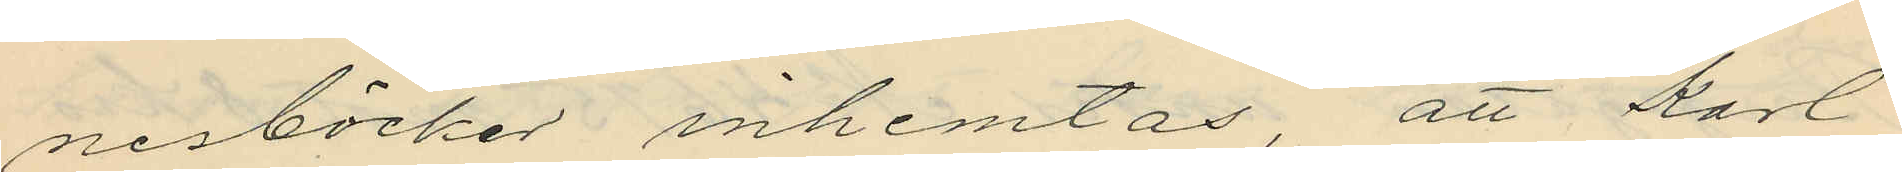nesböcker inhemtas, att Karl
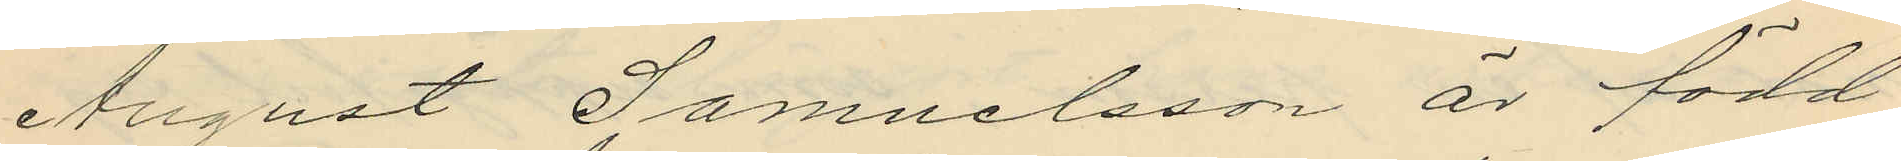August Samuelsson är född
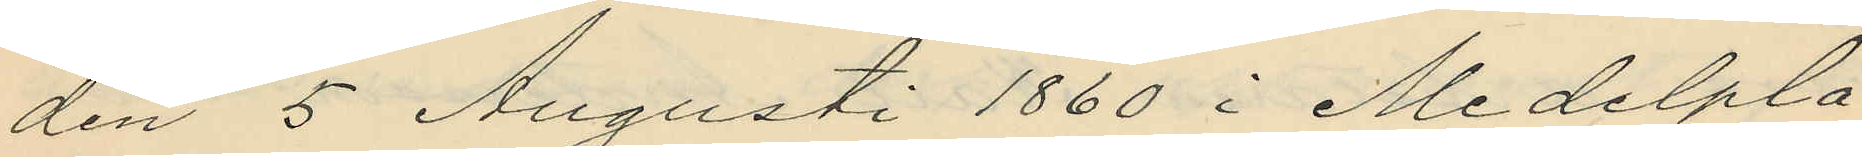den 5 Augusti 1860 i Medelpla¬
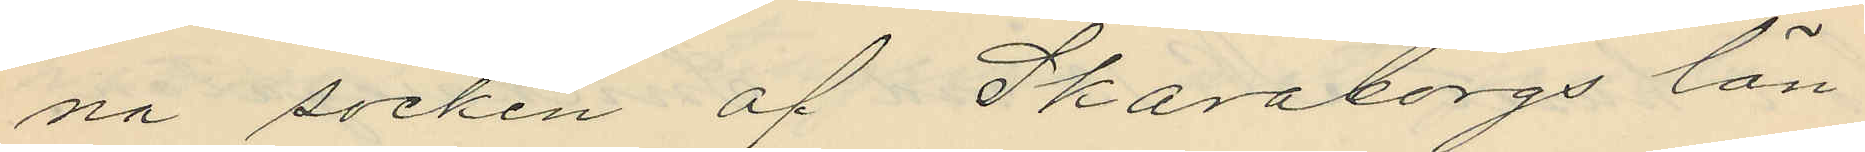na socken af Skaraborgs län;
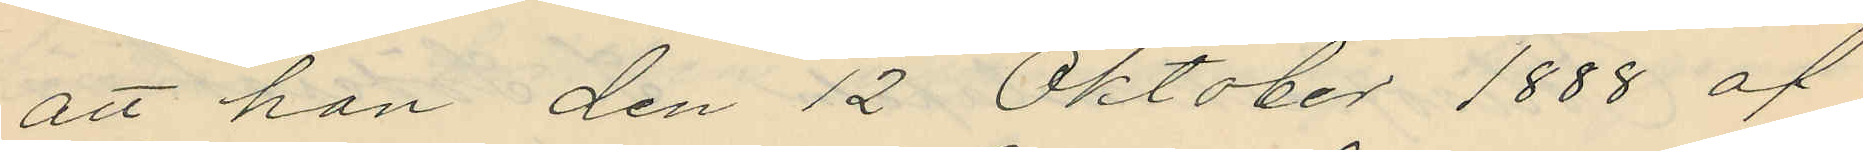att han den 12 Oktober 1888 af
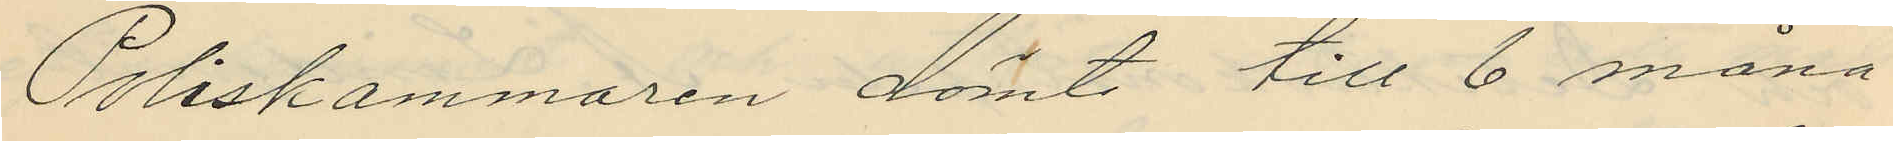Poliskammaren dömts till 6 måna¬
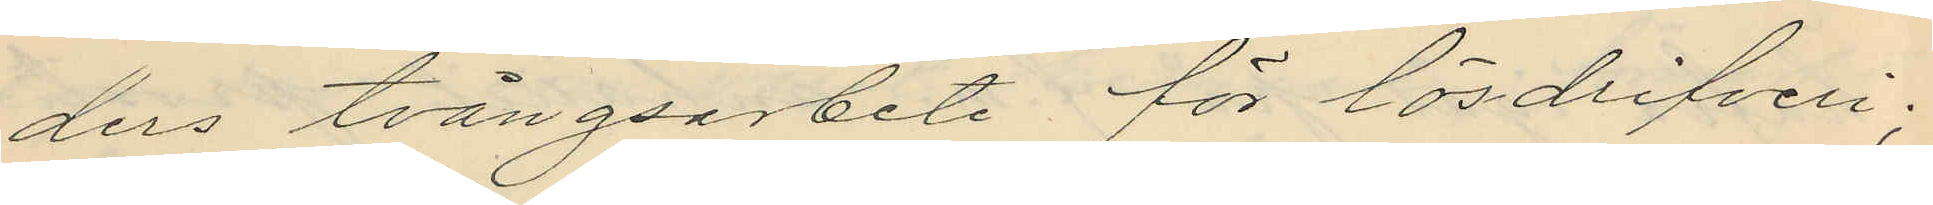ders tvångsarbete för lösdrifveri;
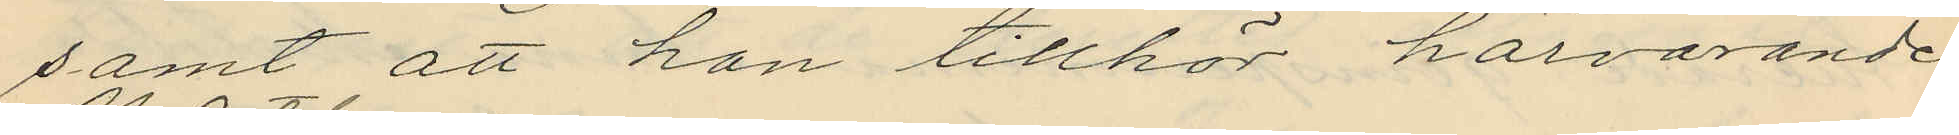samt att han tillhör härvarande
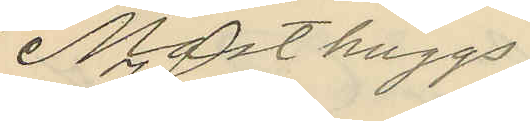 Masthuggs
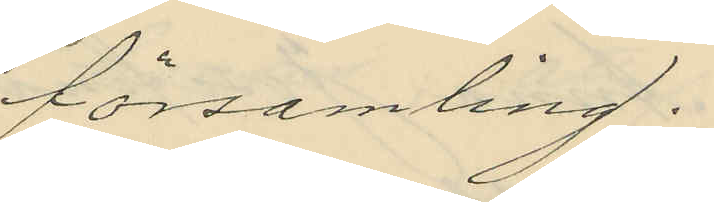församling.
